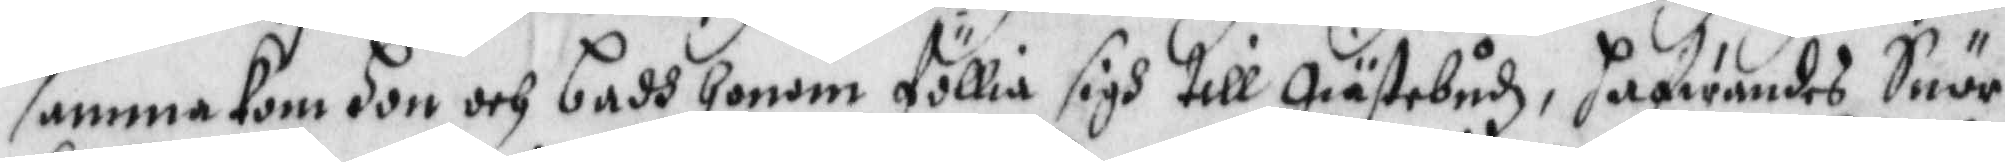samma kom hon och badh honom föllia sigh till Giästebudz, hafwandes Snör¬
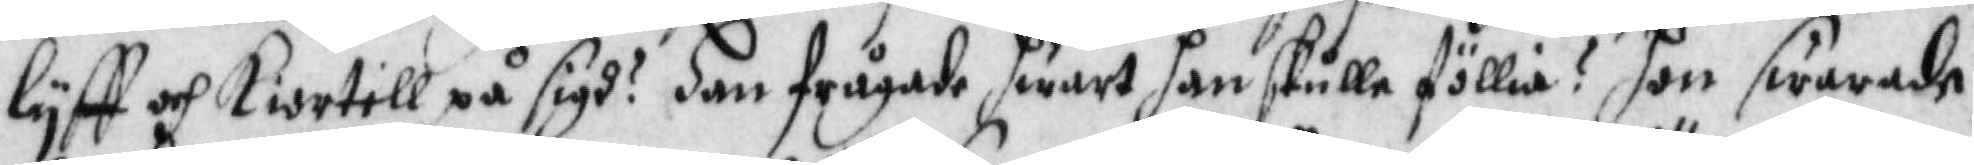lyff och Kiortell på sigh? han frågade hwart han skulle föllia? Hon swarade
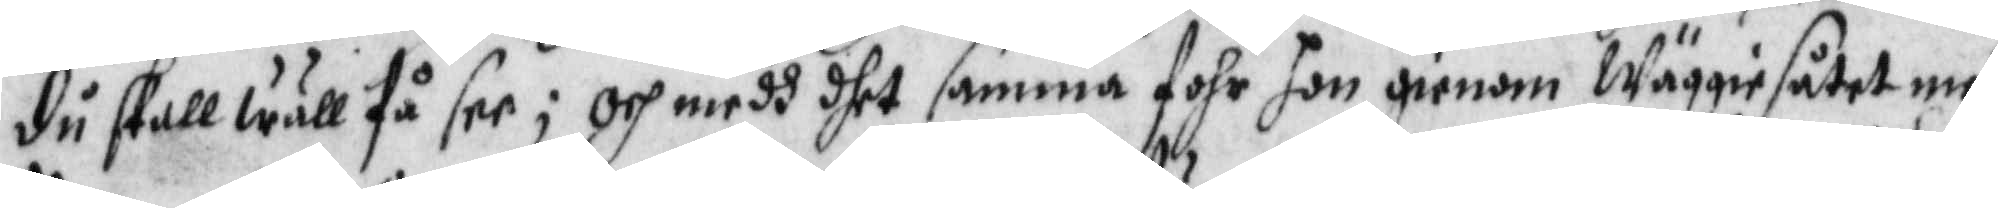du skall wäll få see; och medh dhet samma fohr hon gienom Wäggiesåtet medh
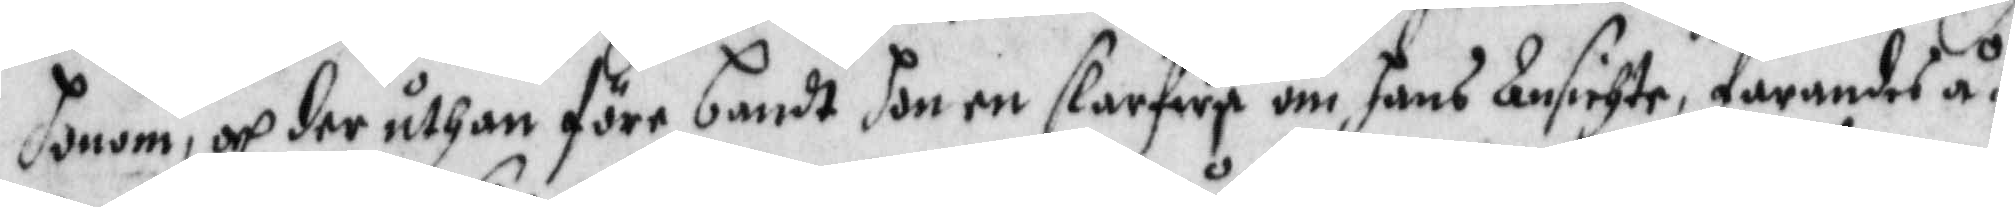honom, och der uthan före bandt hon en slarfwa om hans Ansichte, farandes å¬
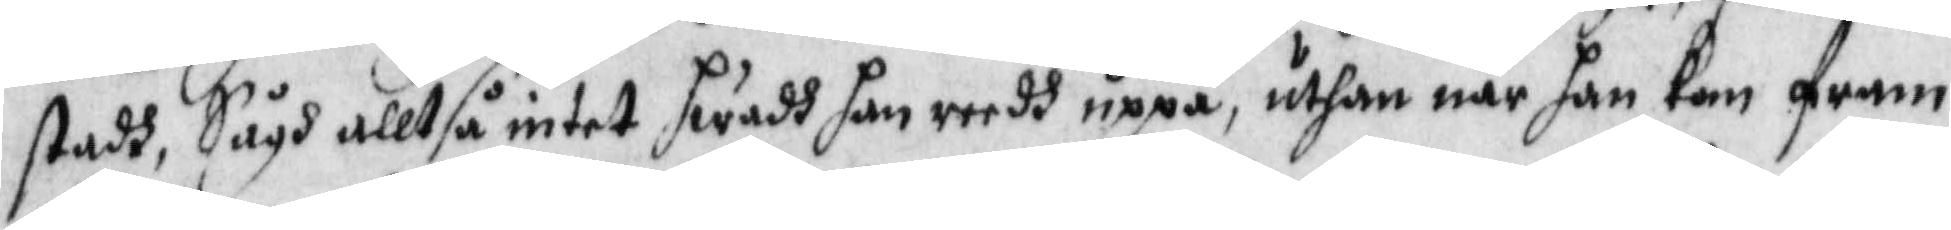stadh, Sågh alltså intet hwadh han reedh uppå, uthan när han kom fram,
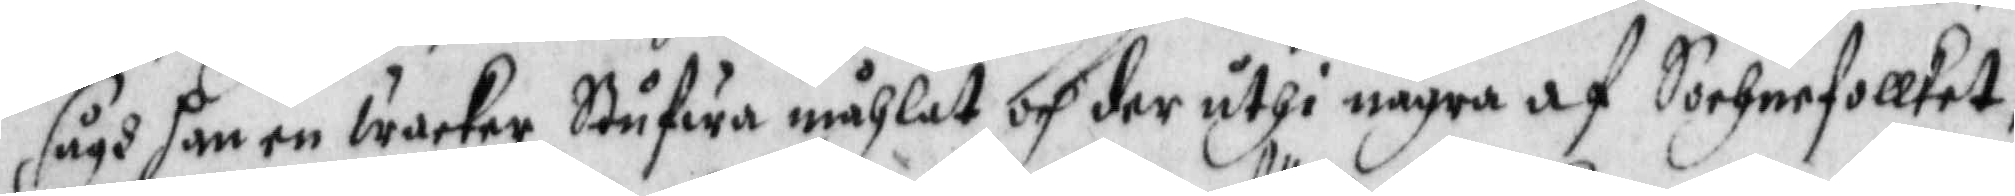sågh han en wacker Stufwa måhlat och der uthi några af Sochnefollket,
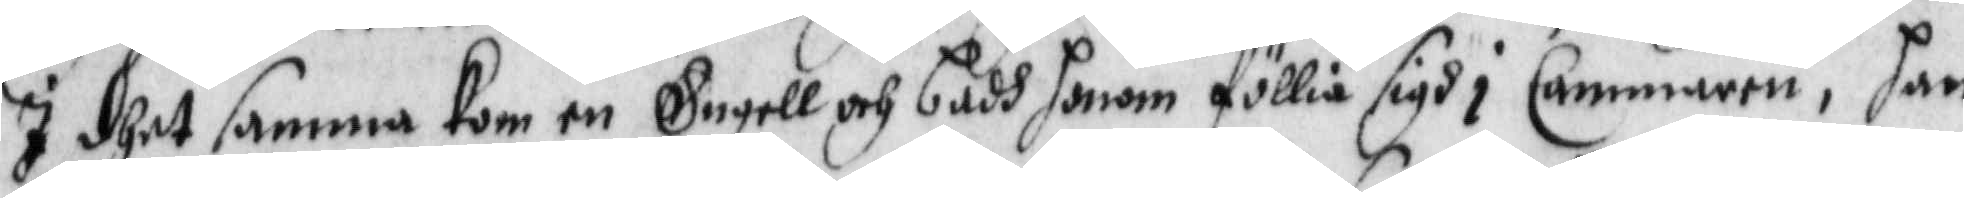I dhet samma kom en Engell och badh honom föllia sigh i Cammaren, han
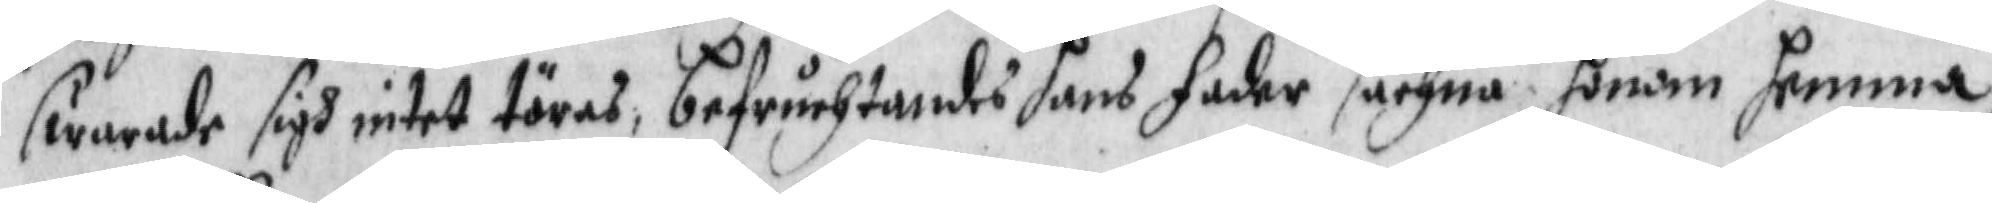swarade sigh intet töras, befruchtandes hans fader sachna gonom hemma,
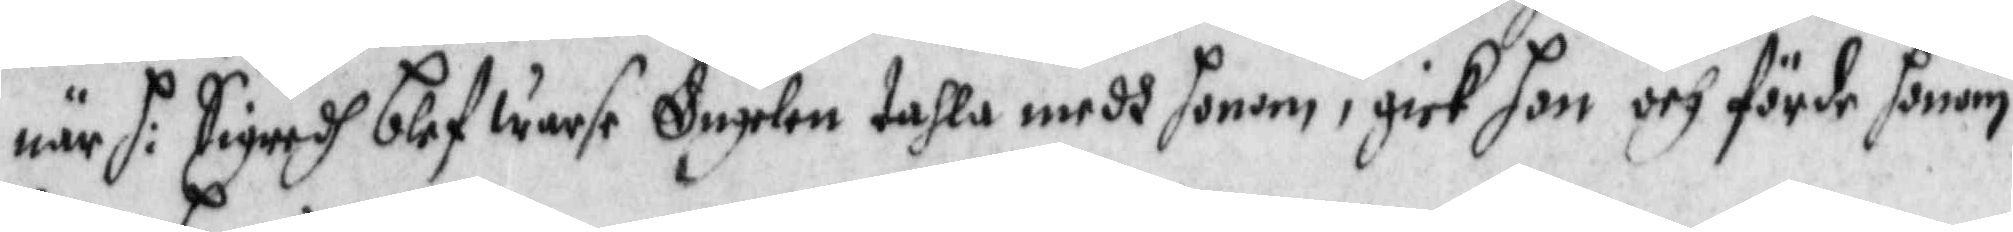när H: Sigredh blef warse Engelen tahla medh honom, gick hon och förde honom
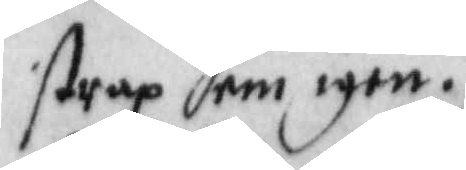strax hem igen.
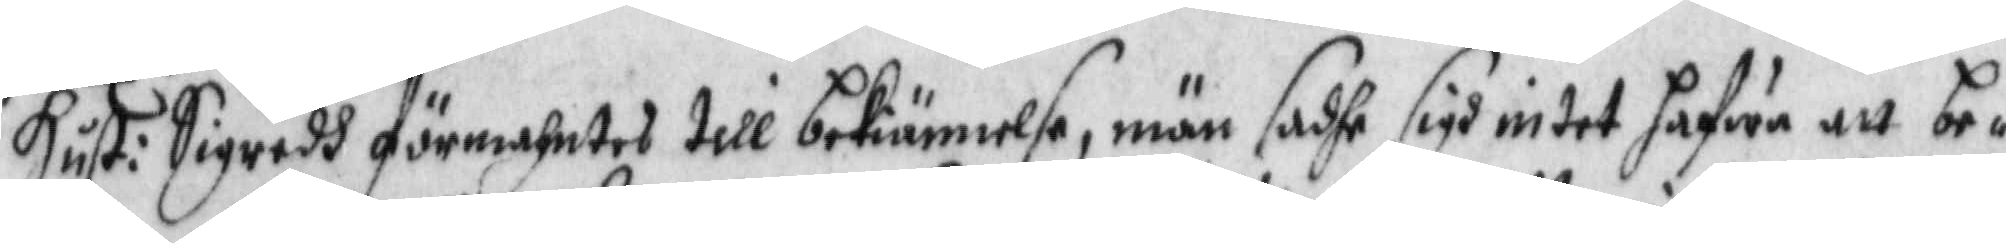Hust: Sigredh förmahntes till bekiännelse, män sadhe sigh intet hafwa att be¬
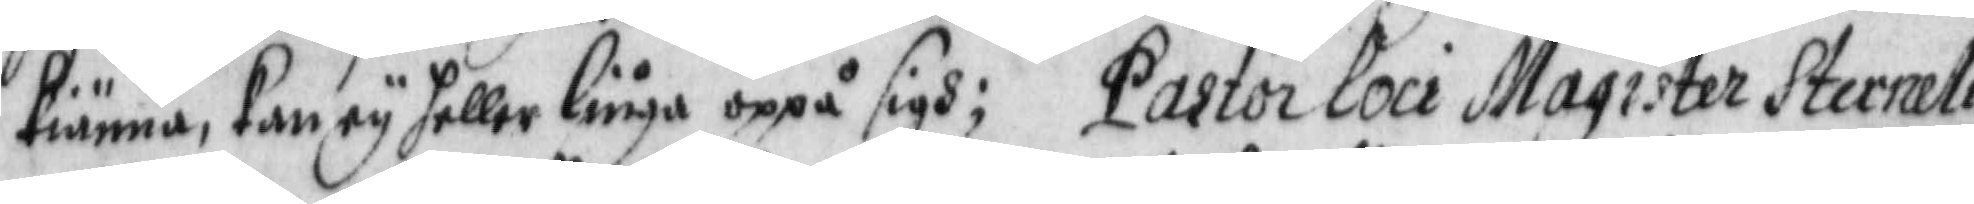kiänna, kan ey heller liuga oppå sigh; Pastor Loci Magister Sterneliz
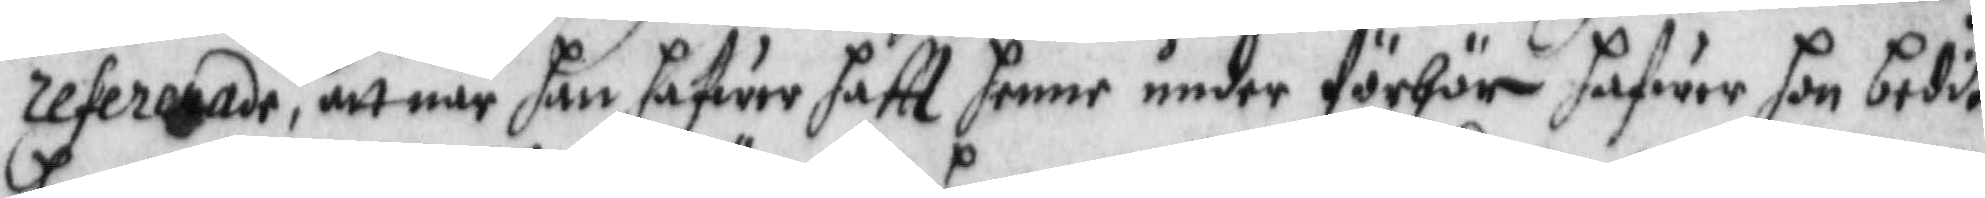refererade, att när han hafwer haftt henne under förhör hafwer hon bedit
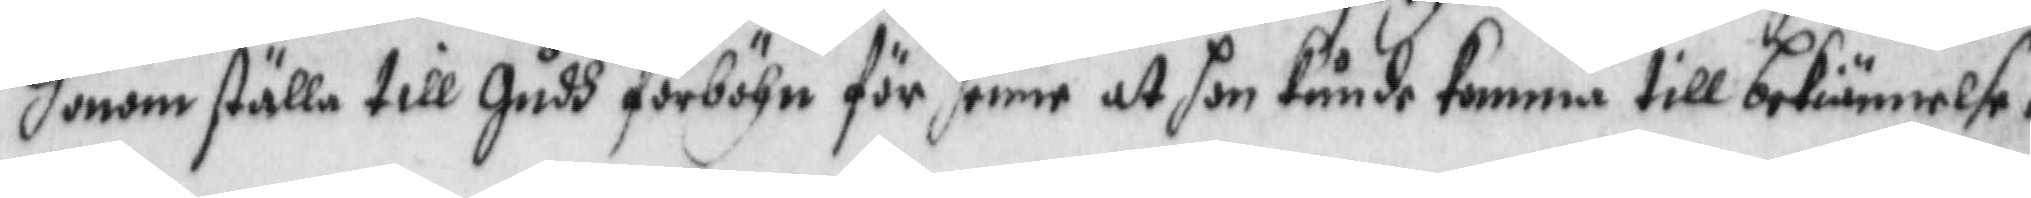honom ställa till Gudh förböhn för henne at hon kunde komma till bekiännelse,
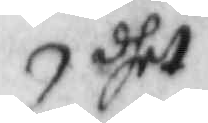dhet 
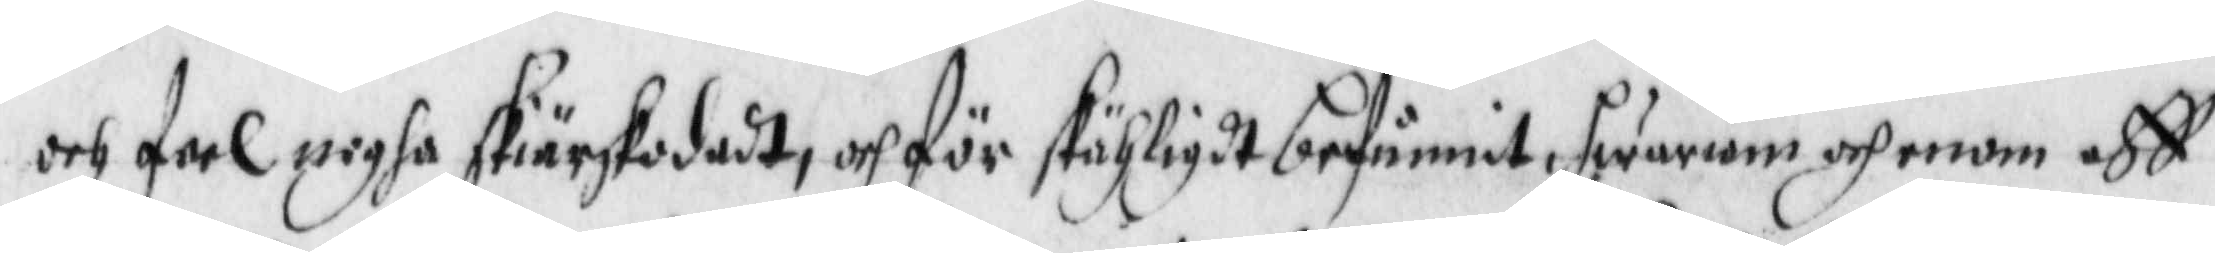och feel nogha skiärskodadt, och för skähligdt befunnit , hwariom och enom aff
